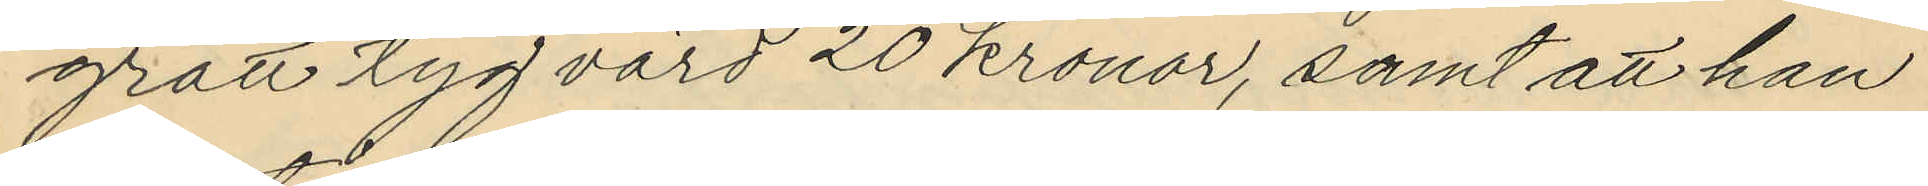grått tyg värd 20 kronor, samt att han
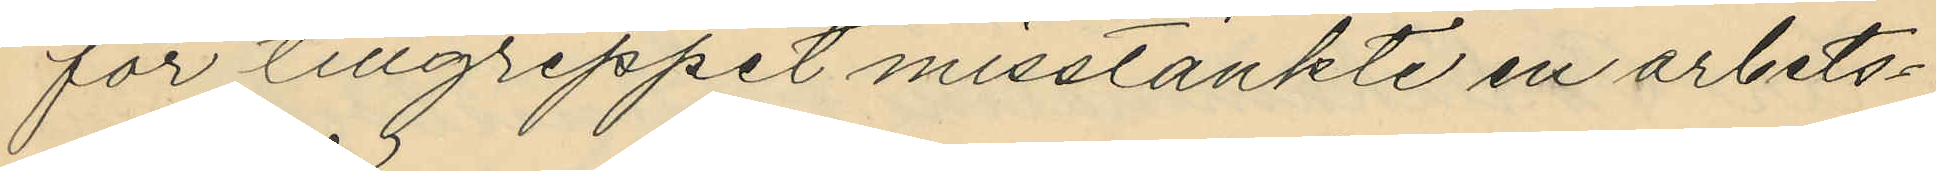för tillgreppet misstänkte en arbets¬
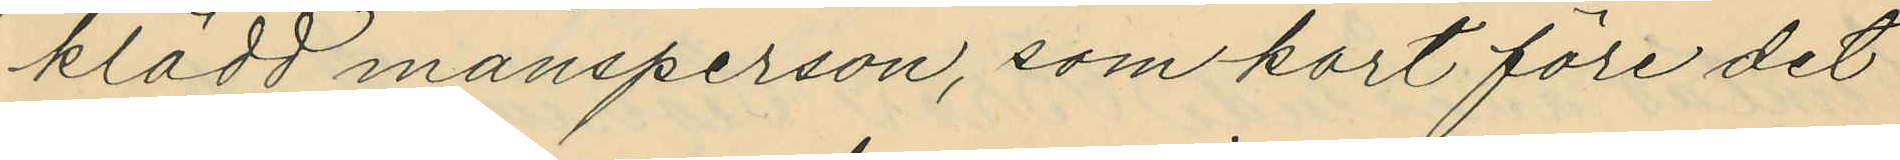klädd mansperson, som kort före det
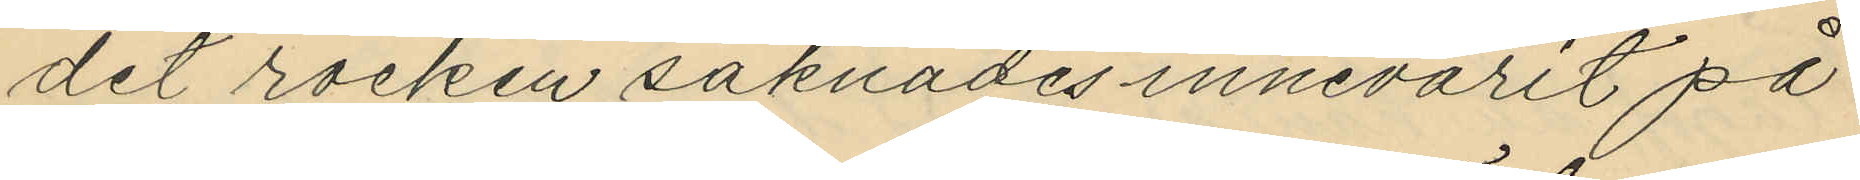det rocken saknades innevarit på
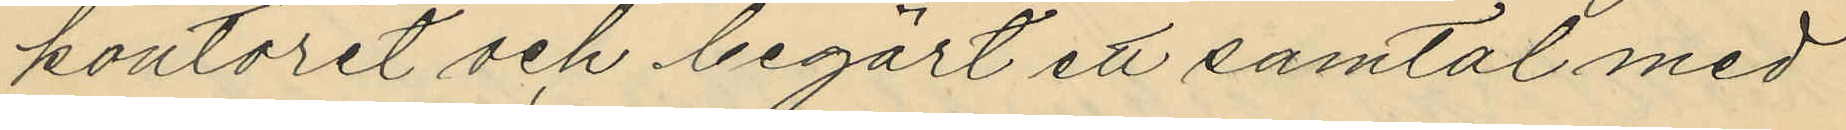kontoret och begärt ett samtal med
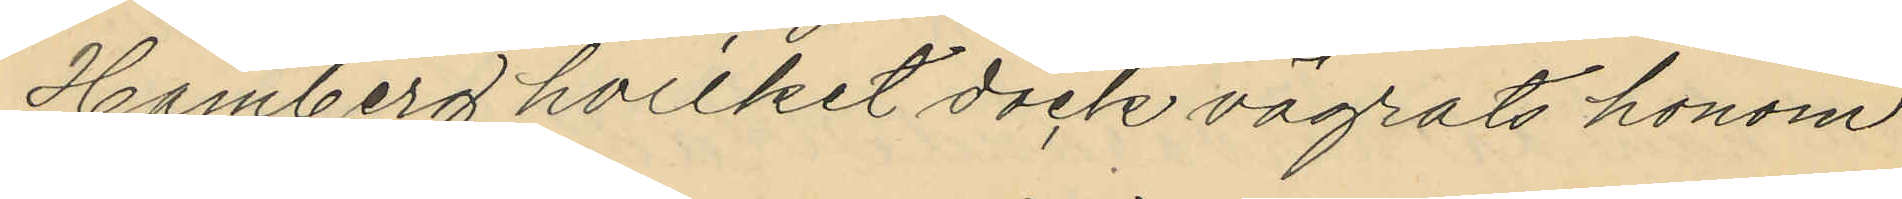Hamberg hvilket dock vägrats honom
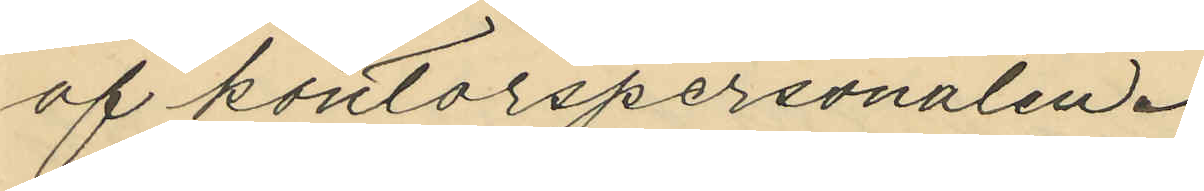af kontorspersonalen.
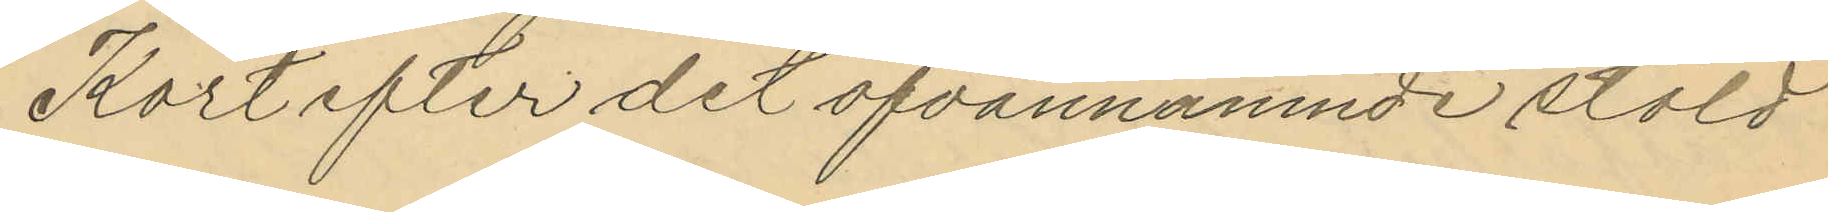Kort efter det ofvannämnde stöld
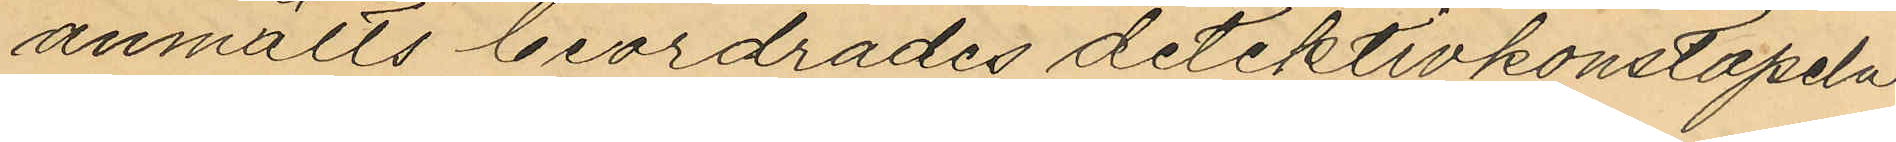anmälts beordrades detektivkonstapeln
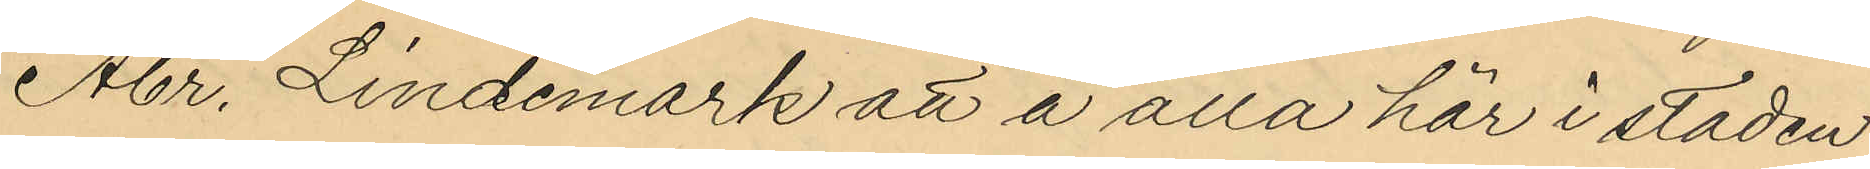Abr. Lindemark att å alla här i staden
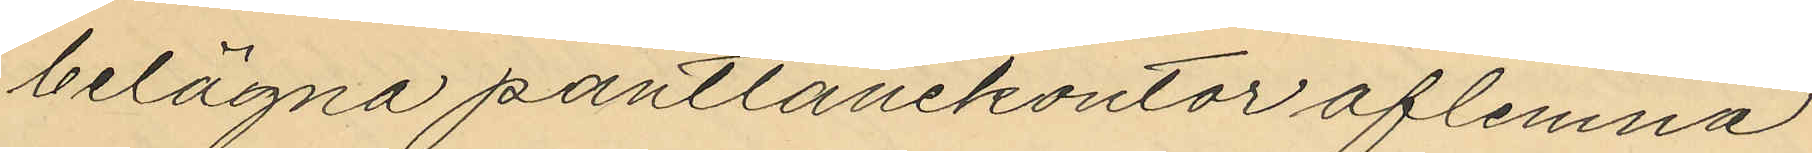belägna pantlånekontor aflemna
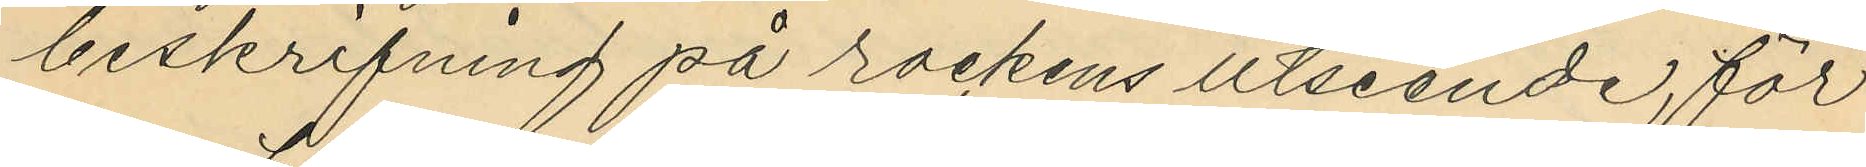beskrifning på rockens utseende, för
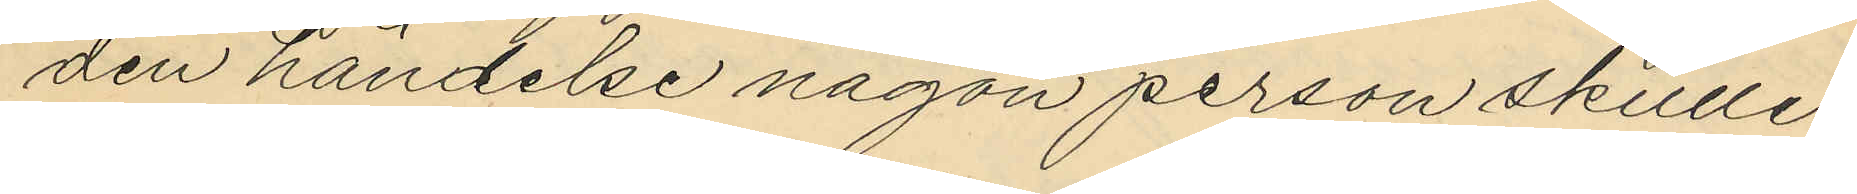den händelse någon person skulle
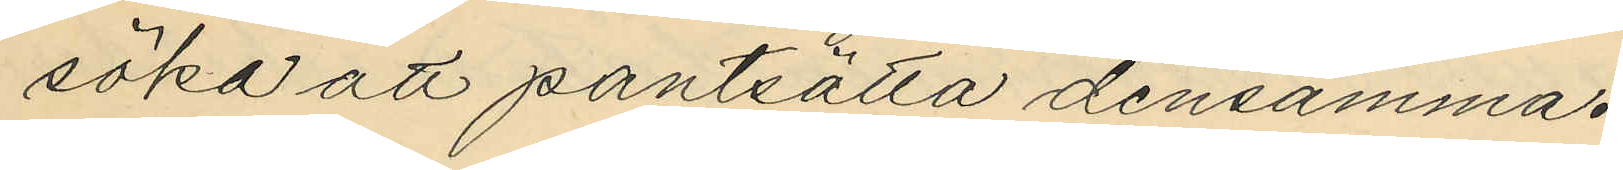söka att pantsätta densamma.
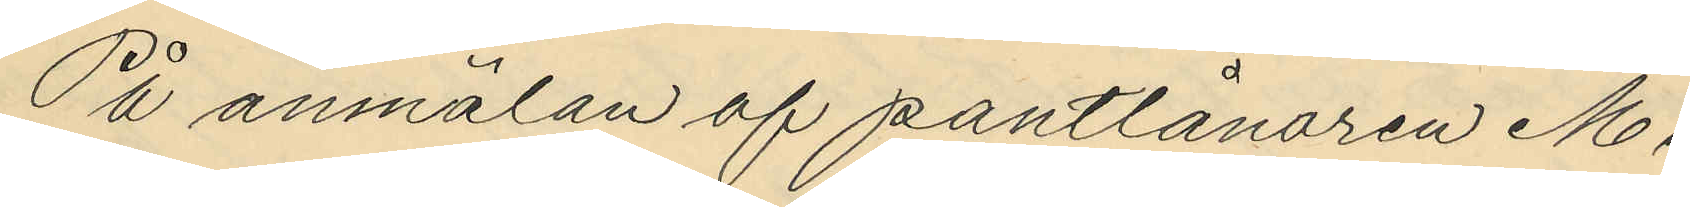På anmälan af pantlånaren M.
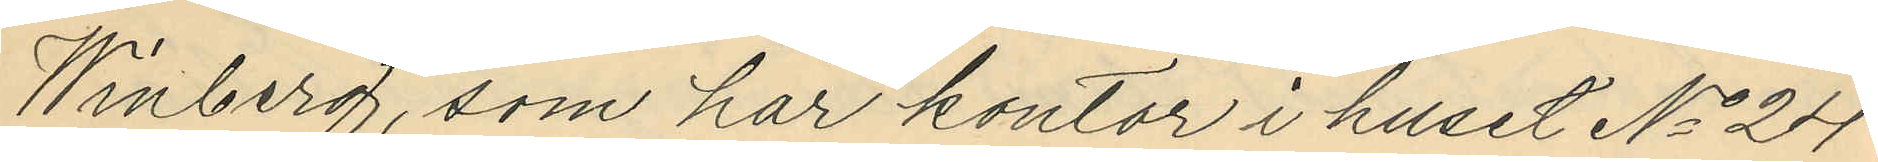Winberg, som har kontor i huset No 24
